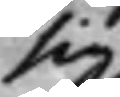sig
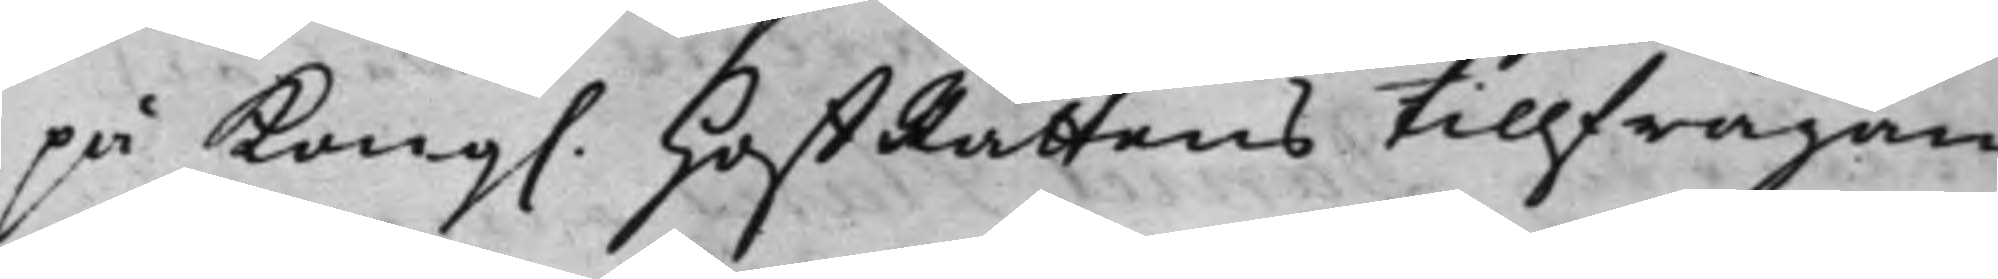på Kong. HoffRättens tillfrågan,
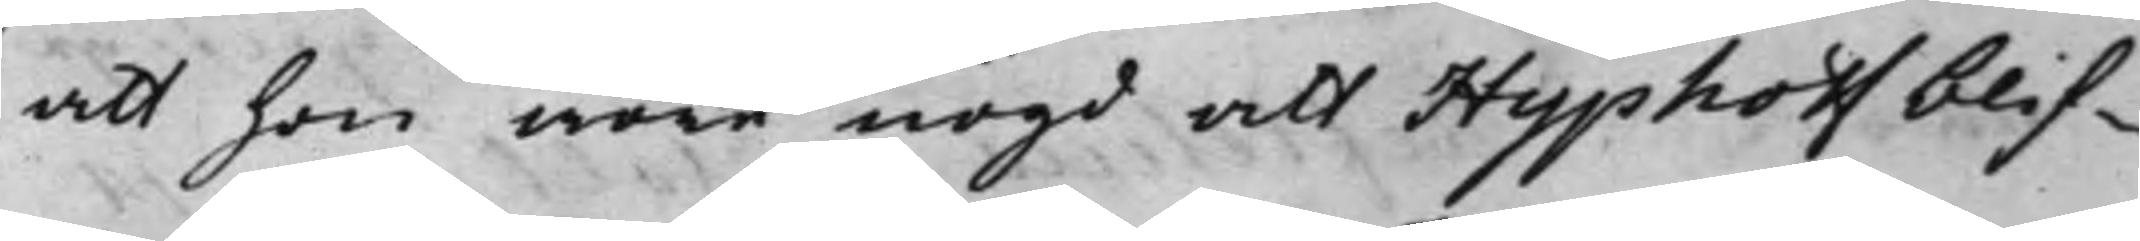att hon wore nögd att Hyphoff blif¬
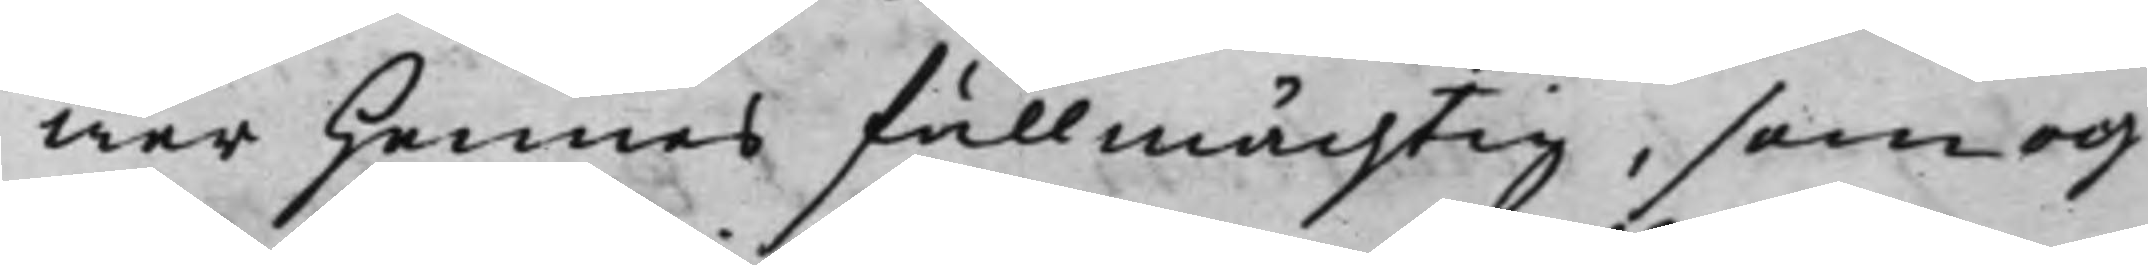wer Hennes fullmächtig, som och
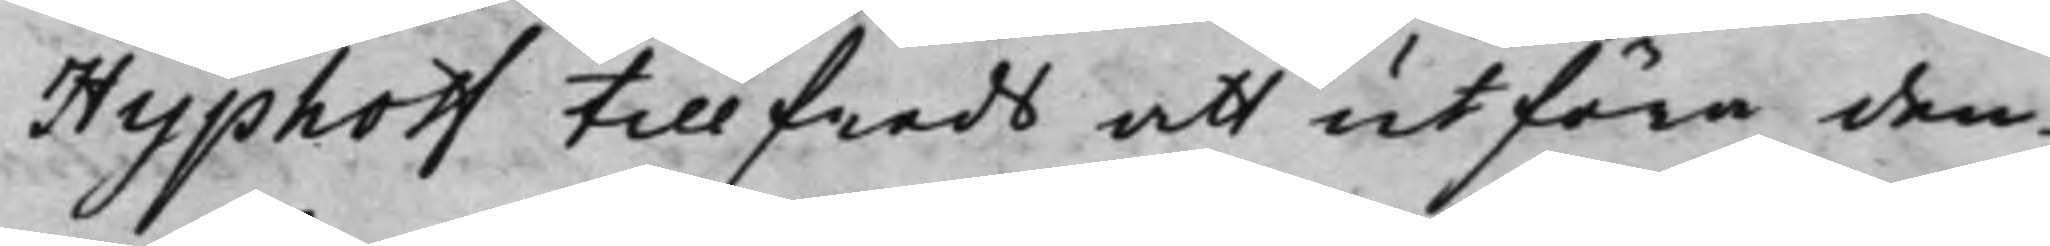Hyphoff tillfreds att utföra den¬
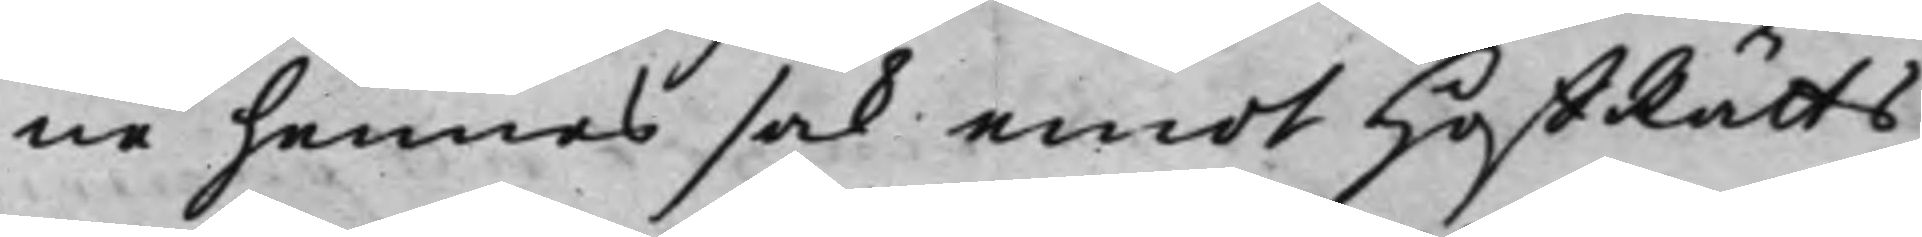ne hennes sak emot HoffRätts¬
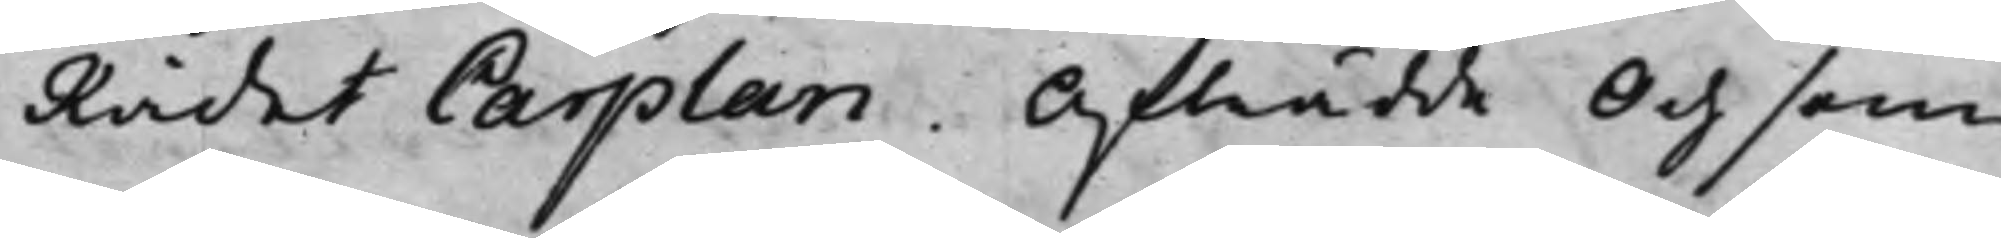Rådet Carplan. Afträdde Och som
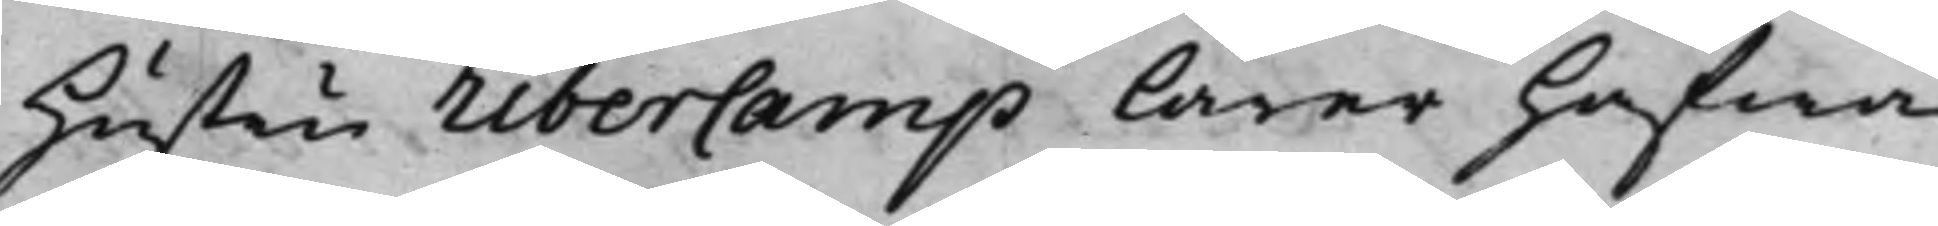Hustru Ribercamp lärer hafwa
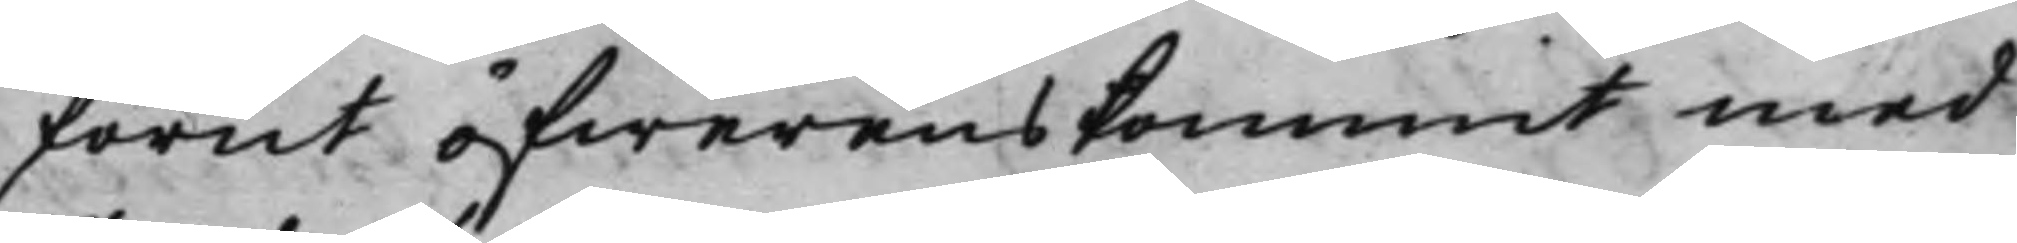förut öfwerenskommit med
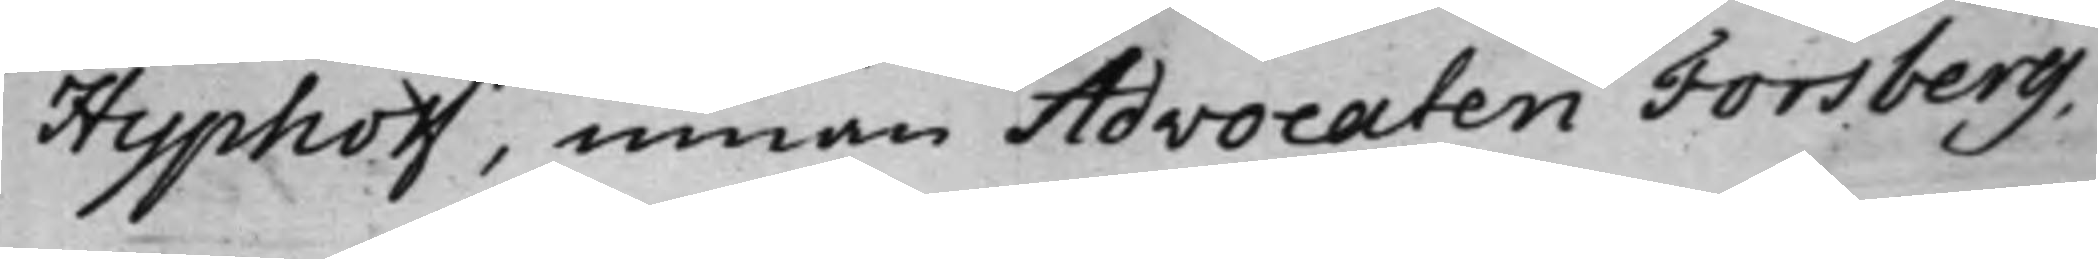Hyphoff, innan Advocaten Torsberg,
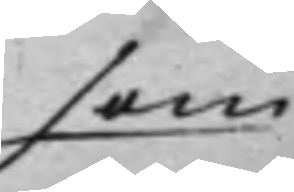som
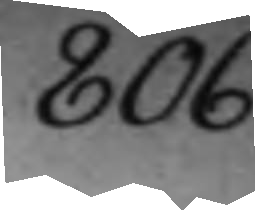806.
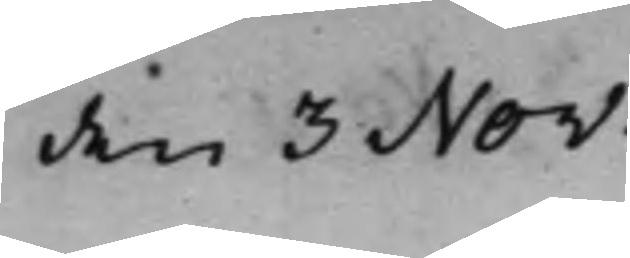den 3 Nov:
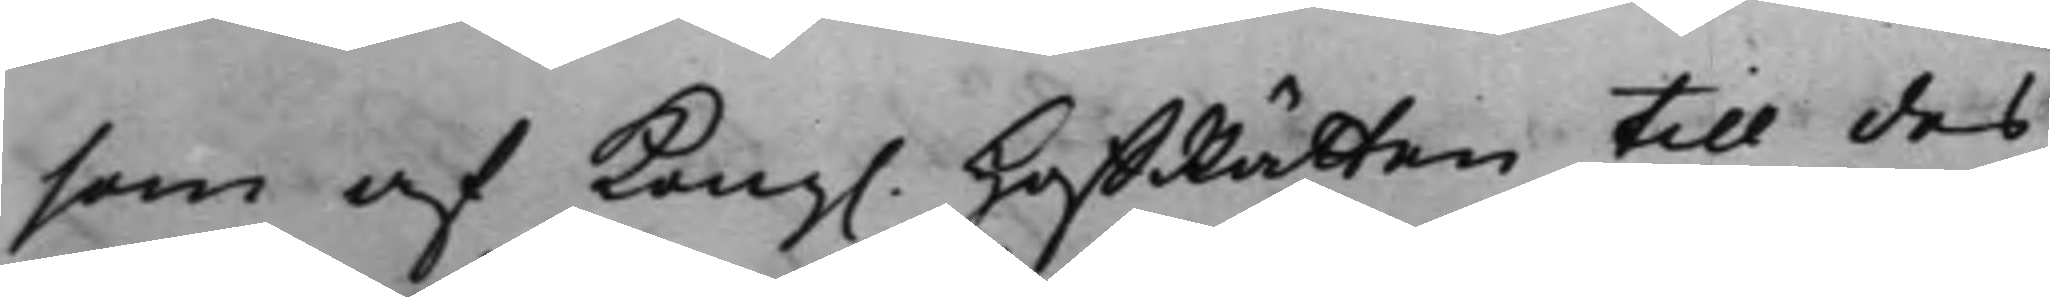som af Kong. HoffRätten till des
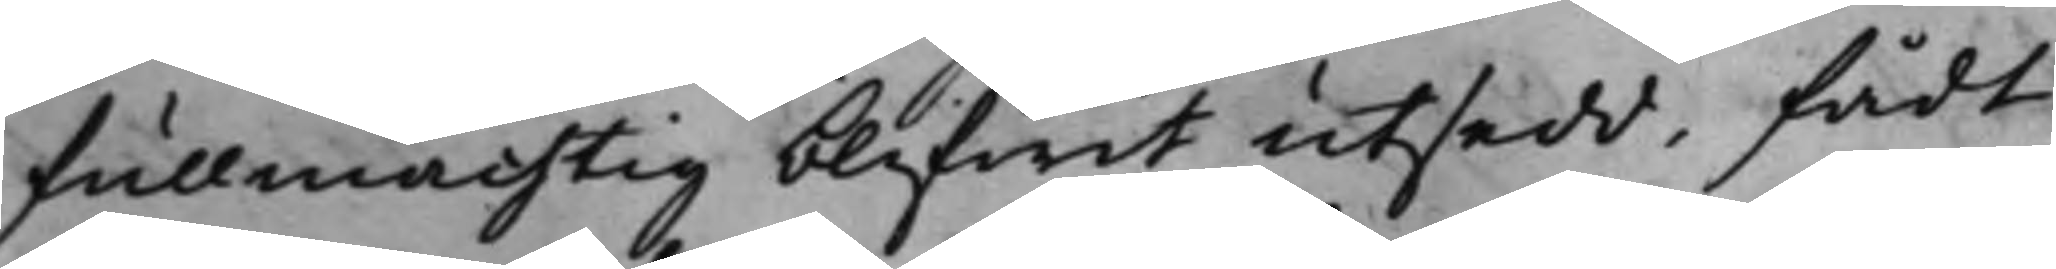fullmächtig blifwit utsedd, fådt
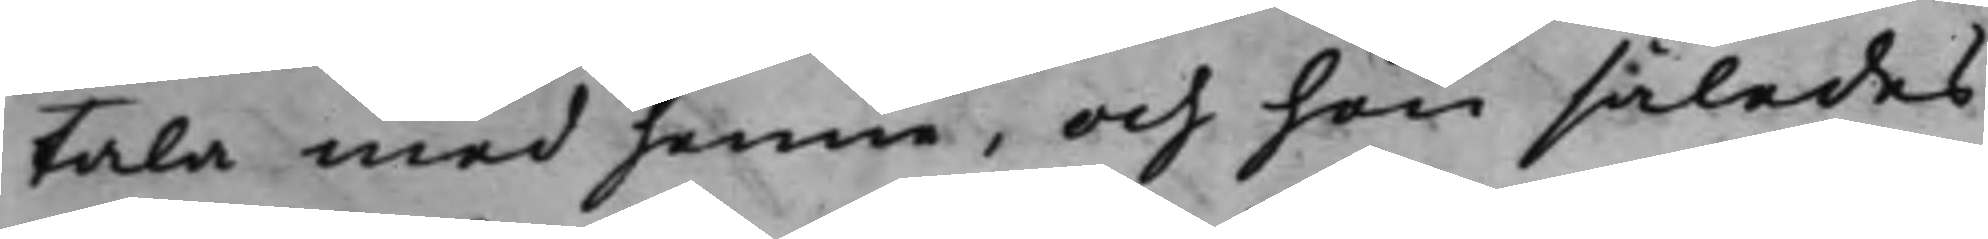tala med henne, och hon således
